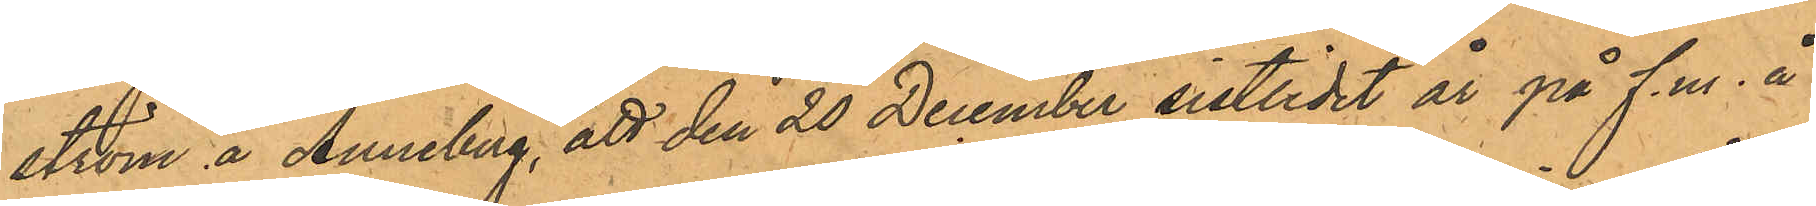ström å Anneberg, att den 20 December sistlidet år på f.m. å
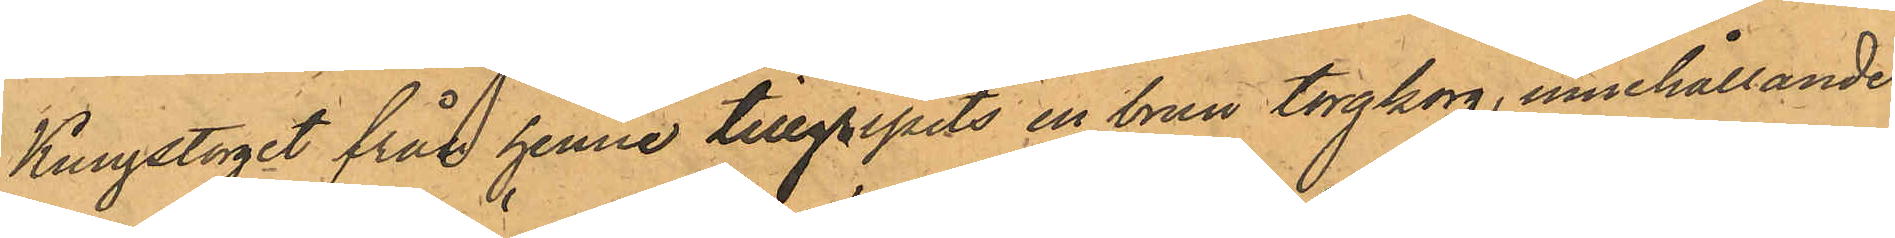Kungstorget från henne tillgripits en brun torgkorg, innehållande
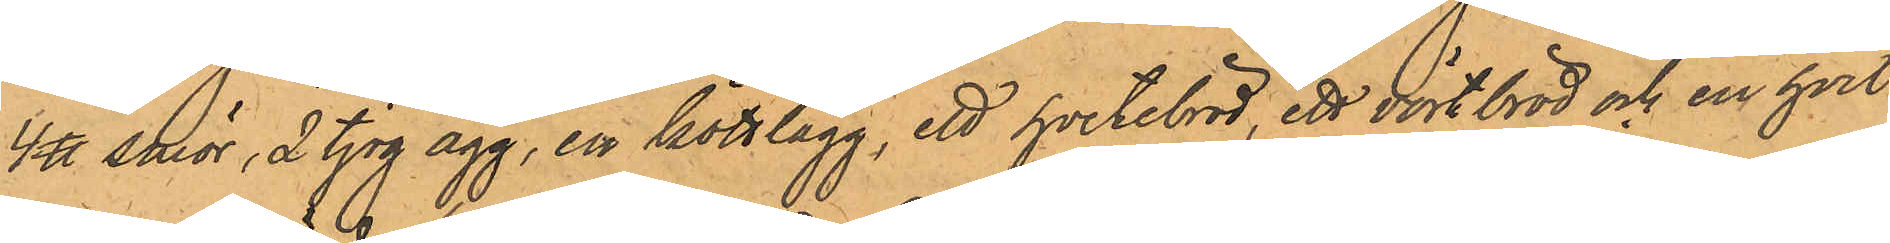4 ℔ smör, 2 tjog ägg, en köttlägg, ett hvetebröd, ett vörtbröd och en hvit
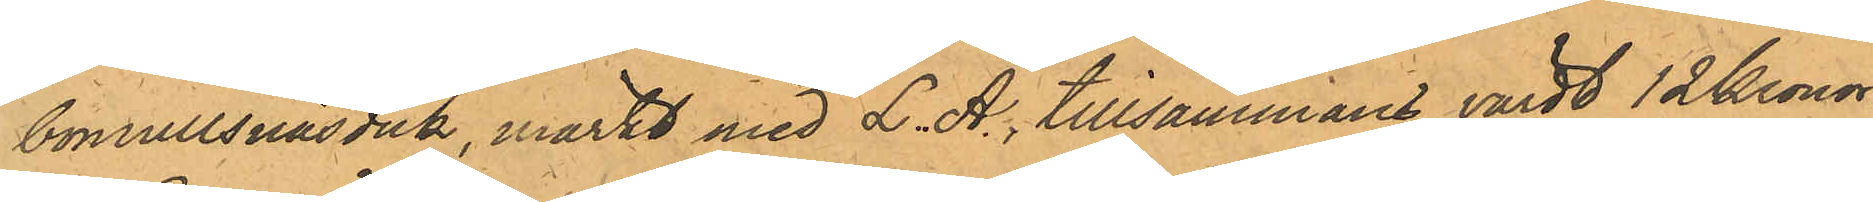bomullsnäsduk, märkt med L. A., tillsammans värdt 12 Kronor.
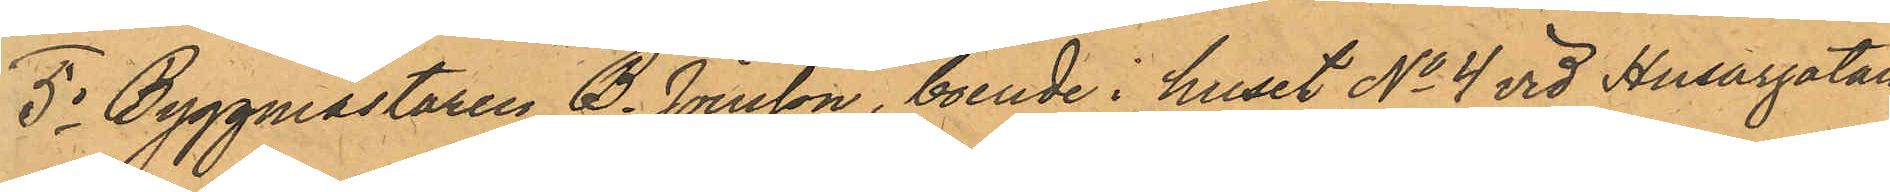5o Byggmästaren B. Jönsson, boende i huset No 4 vid Husargatan,
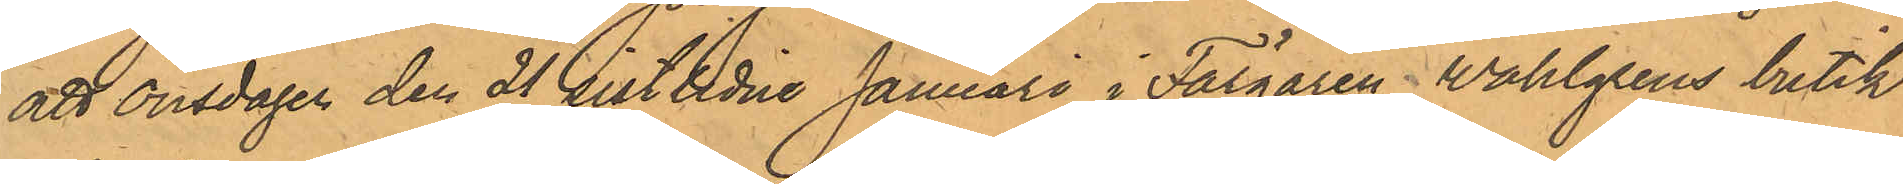att Onsdagen den 21 sistlidne Januari i Färgaren Wahlgrens butik
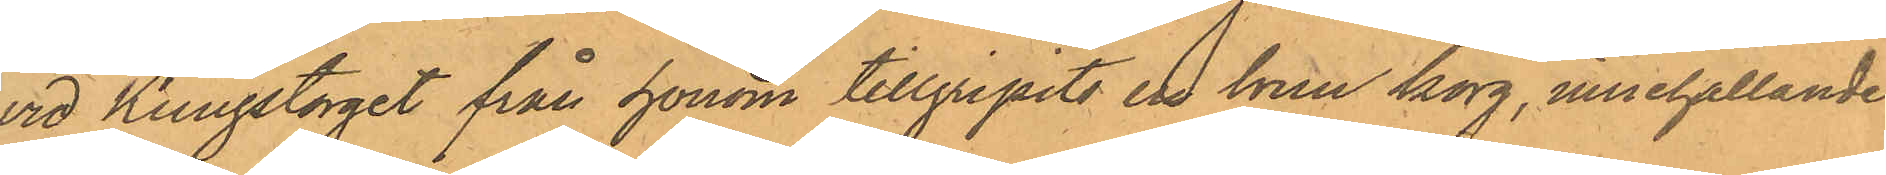vid Kungstorget från honom tillgripits en brun korg, innehållande
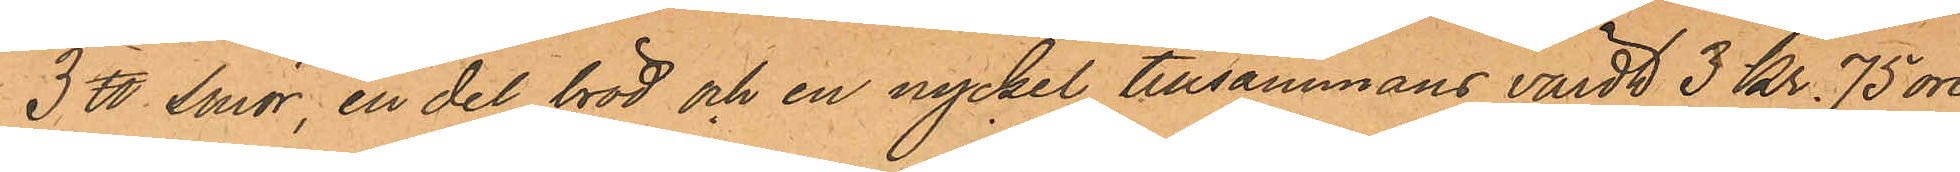3 ℔ Smor, en del bröd och en nyckel tillsammans värdt 3 Kr. 75 öre.
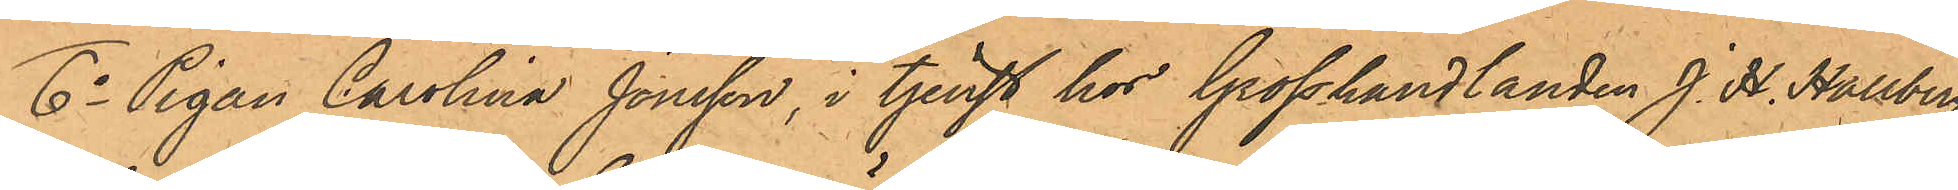6o Pigan Carolina Jönsson, i tjenst hos Grosshandlanden J. H. Hallberg
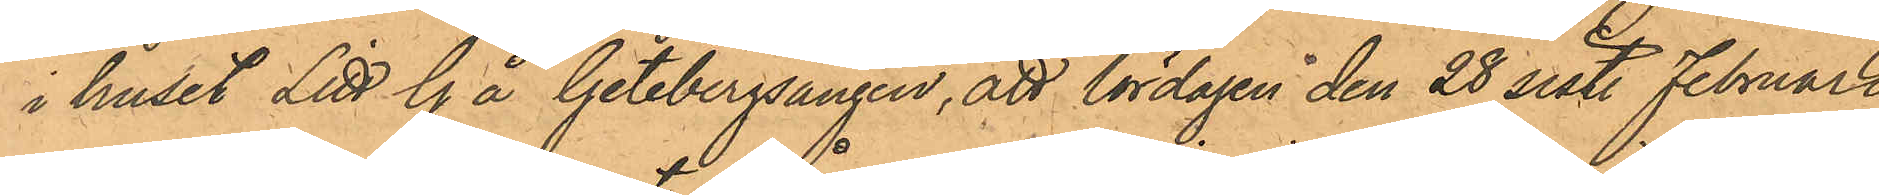i huset Litt G å Getebergsängen, att lördagen den 28 sist. Februari
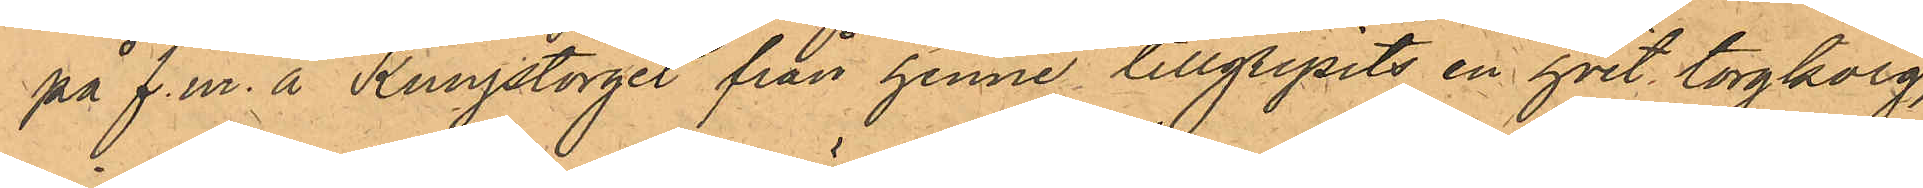på f.m. å Kungstorget från henne tillgripits en hvit torgkorg,
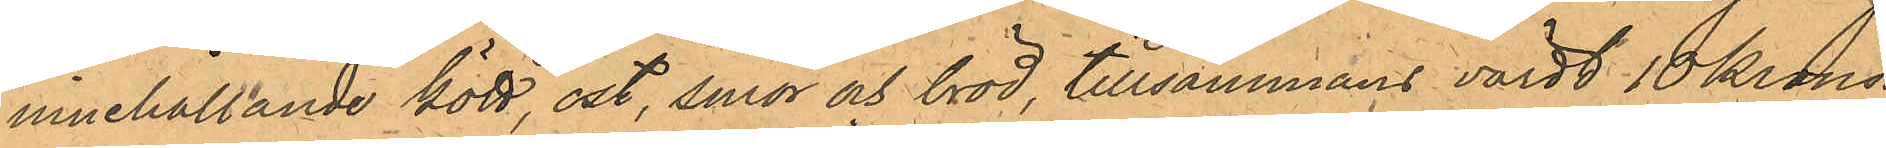innehållande kött, ost, smör och bröd, tillsammans värdt 10 Kronor;
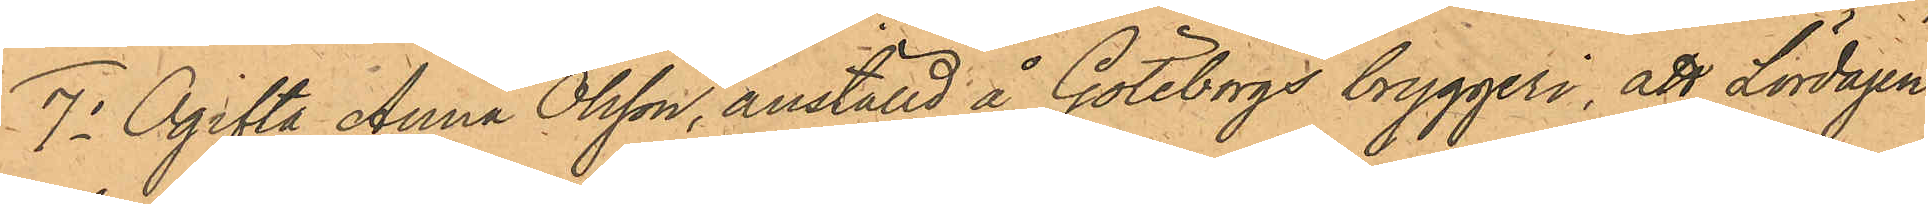7o Ogifta Anna Olsson, anställd å Göteborgs bryggeri, att Lördagen
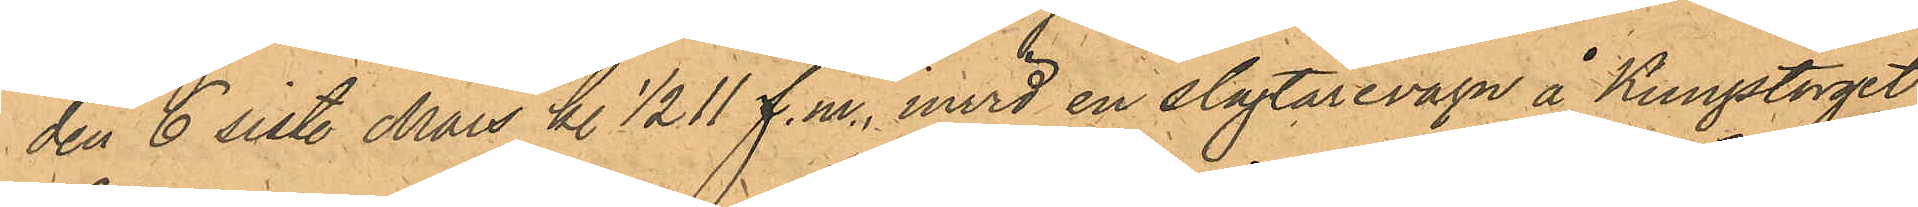den 6 sist. Mars kl 1/2 11 f.m. invid en slagtarevagn å Kungstorget
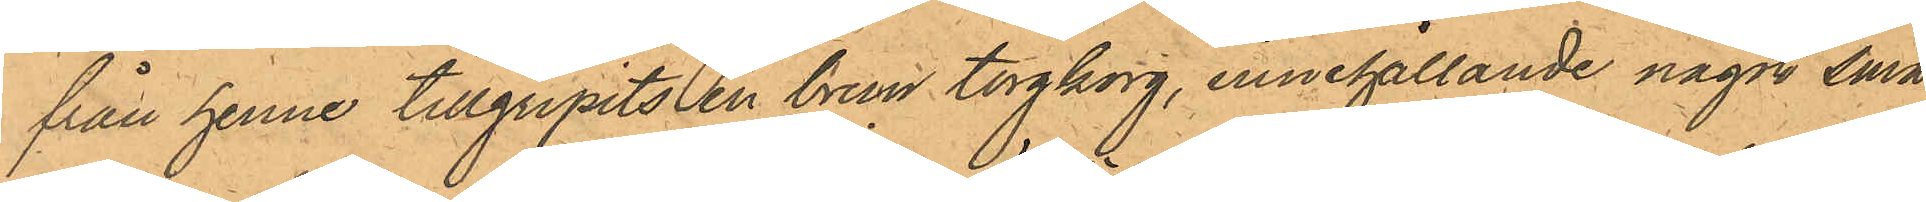från henne tillgripits en brun torgkorg, innehållande något små¬
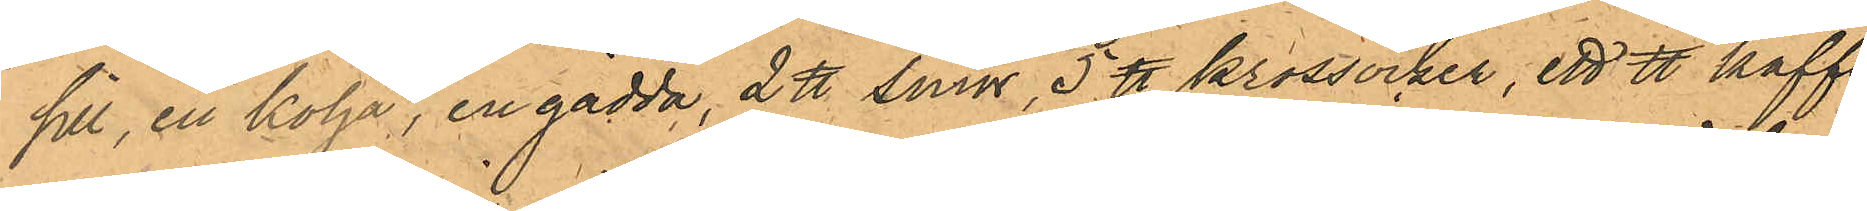sill, en kolja, en gädda, 2 ℔ smör, 5 ℔ krossocker, ett ℔ kaffe¬
